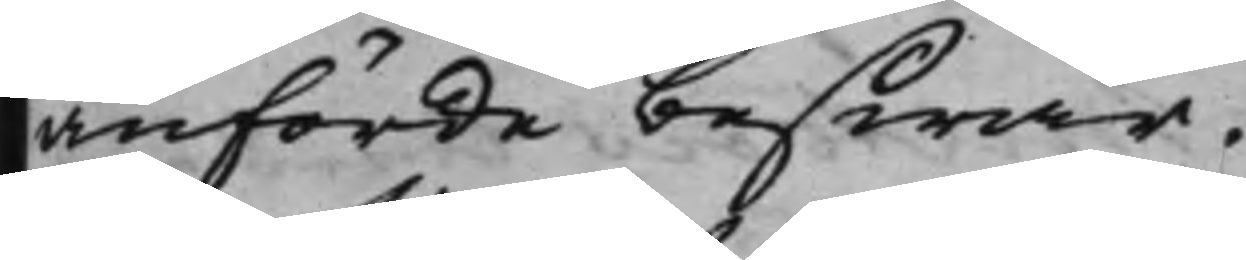anförde beswär.
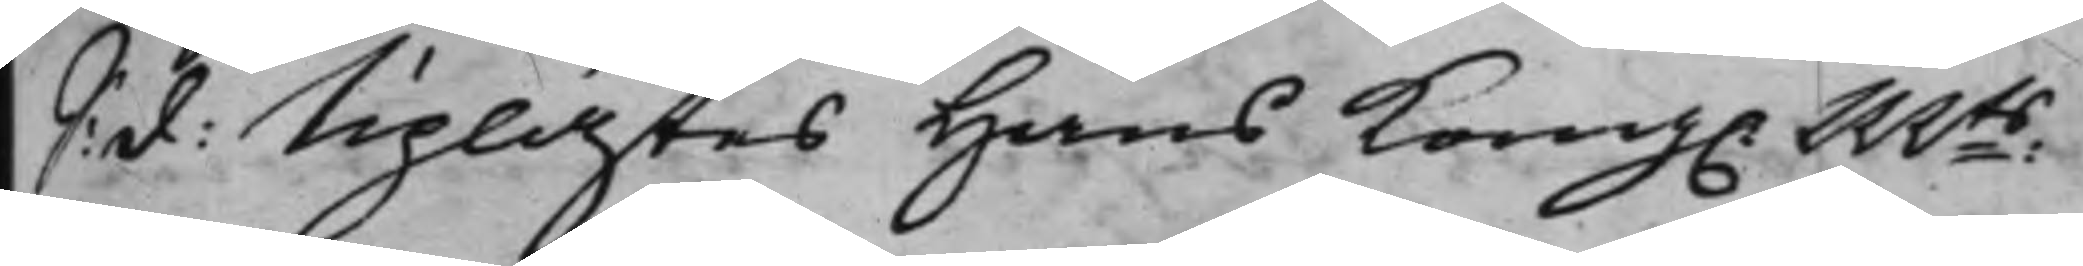S: d: Uplästes Hans Kong. Mts
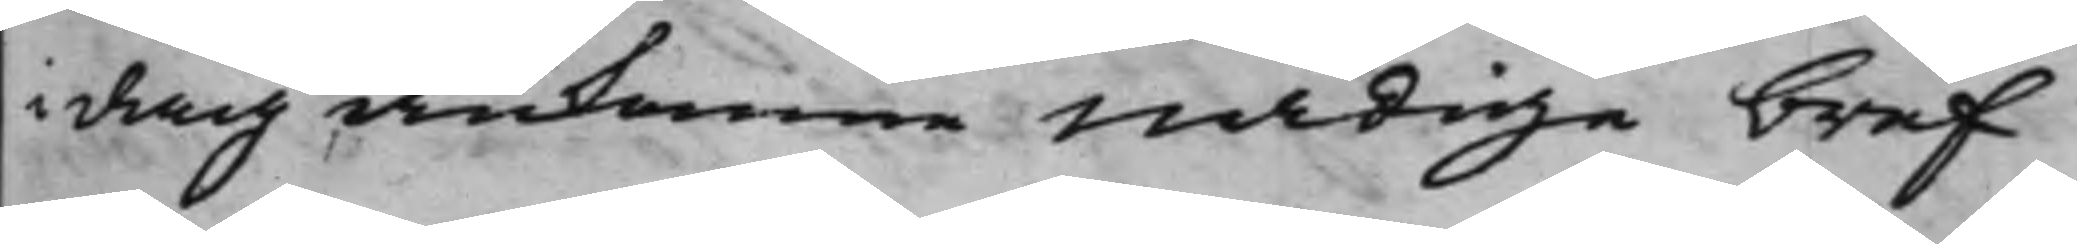i dag ankomne Nådige bref
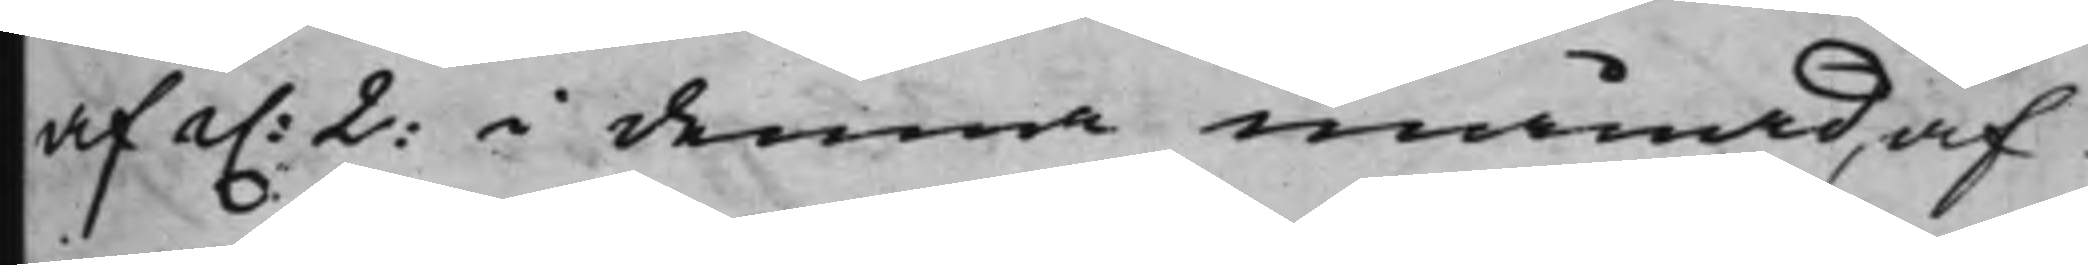af d. 2: i denna månad, af
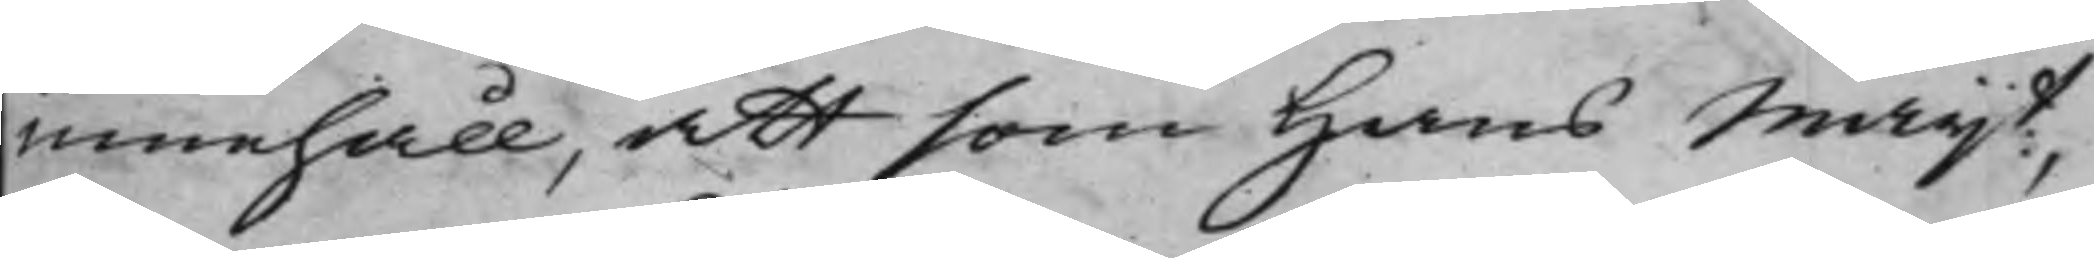innehåll, att som Hans Maijt,
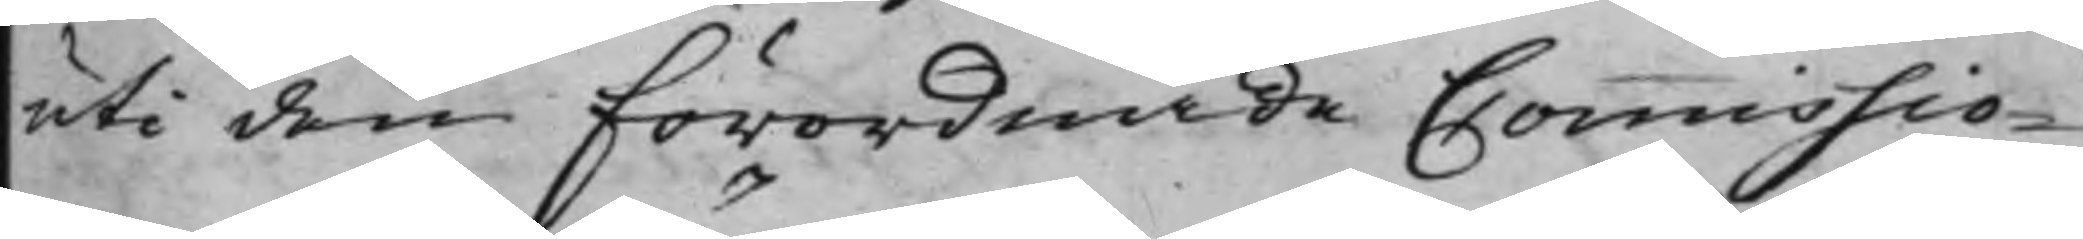uti den Förordnade Commissio¬
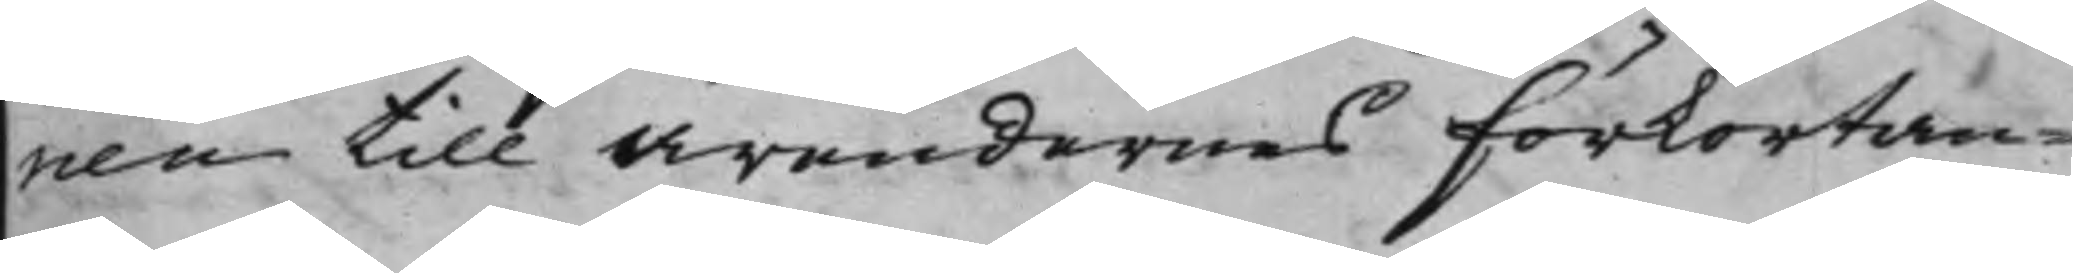nen till Ärendernes förkortan¬
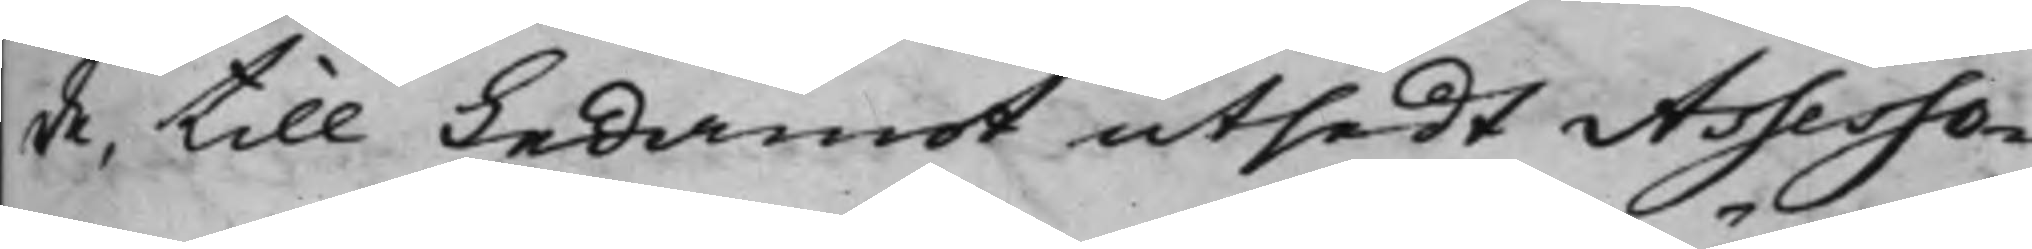de, till Ledamot utsedt Assesso¬
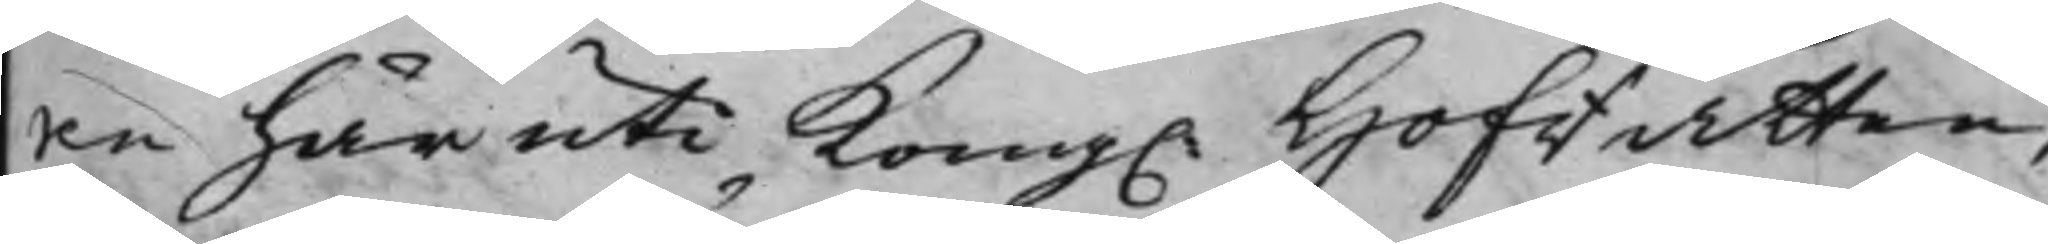ne häruti Kong. Hofrätten,
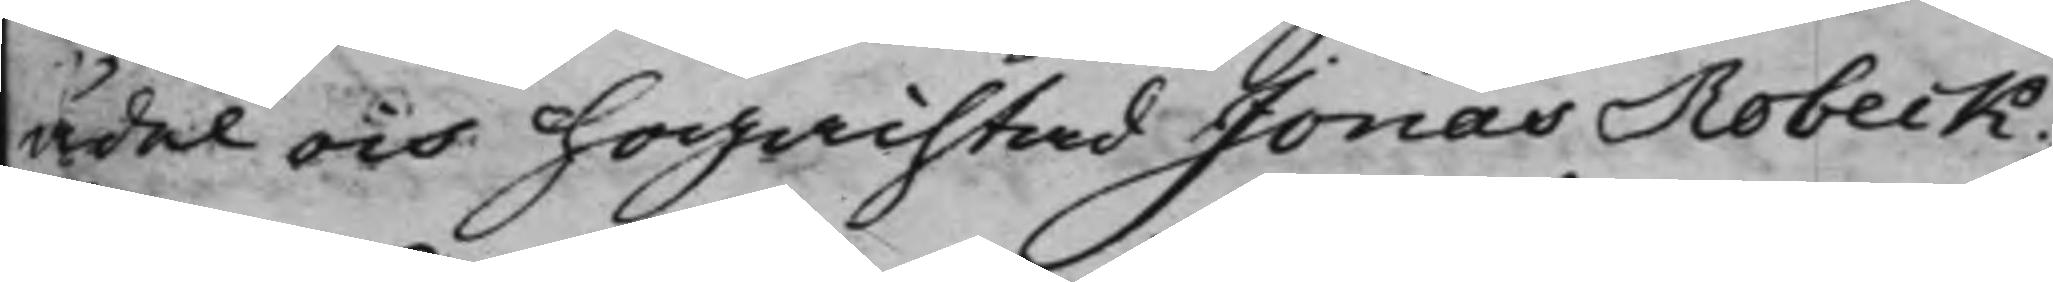Ädel och Högachtad Jonas Robeck;
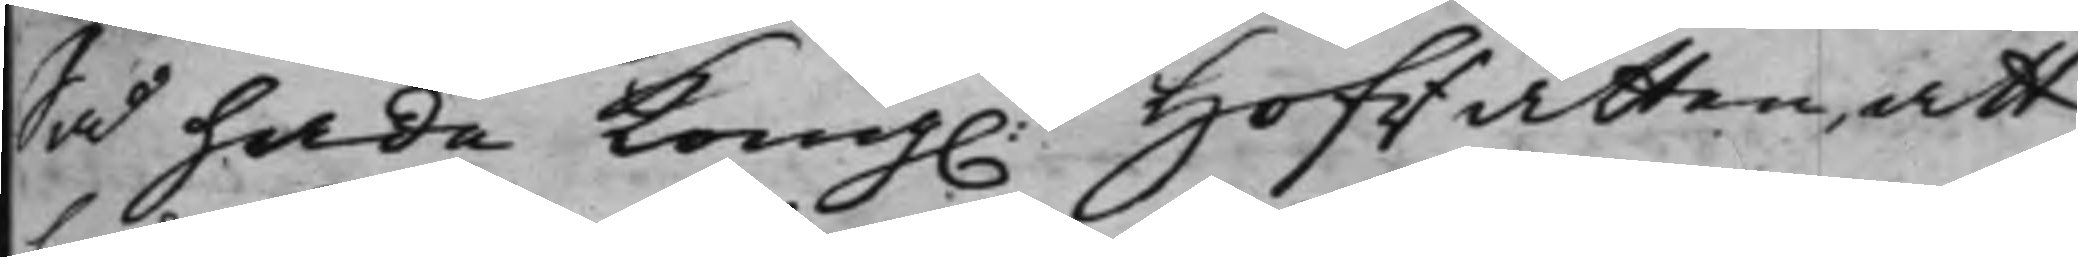Så hade Kong. Hofrätten, att
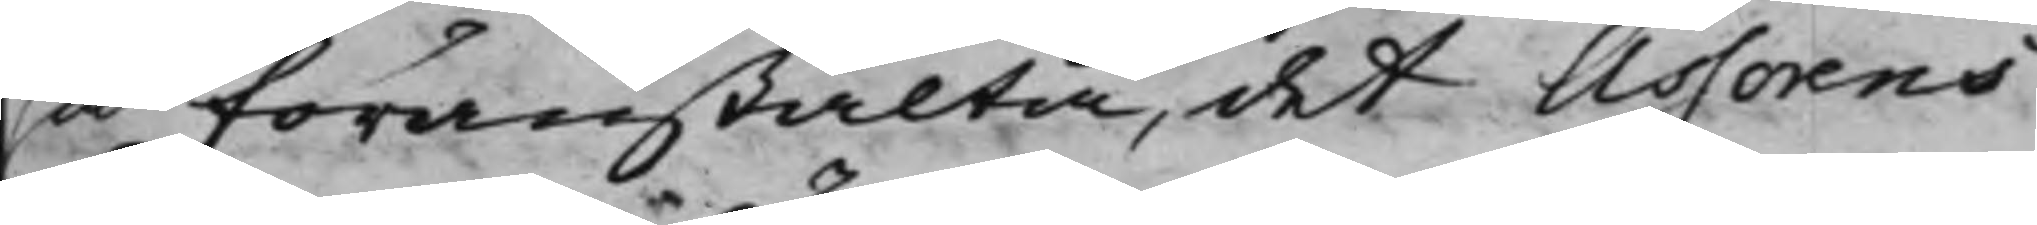så föranstalta, det Assorens
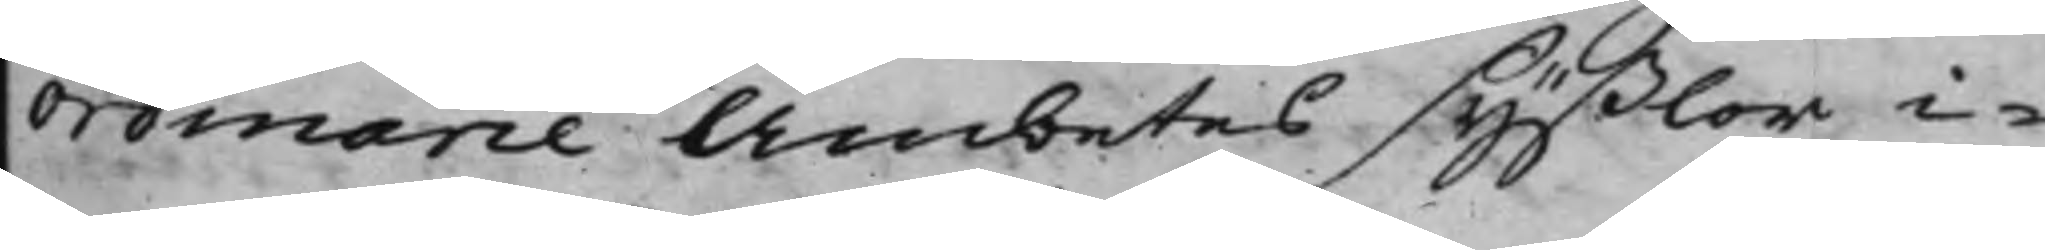Ordinarie Ämbetes syßlor i¬
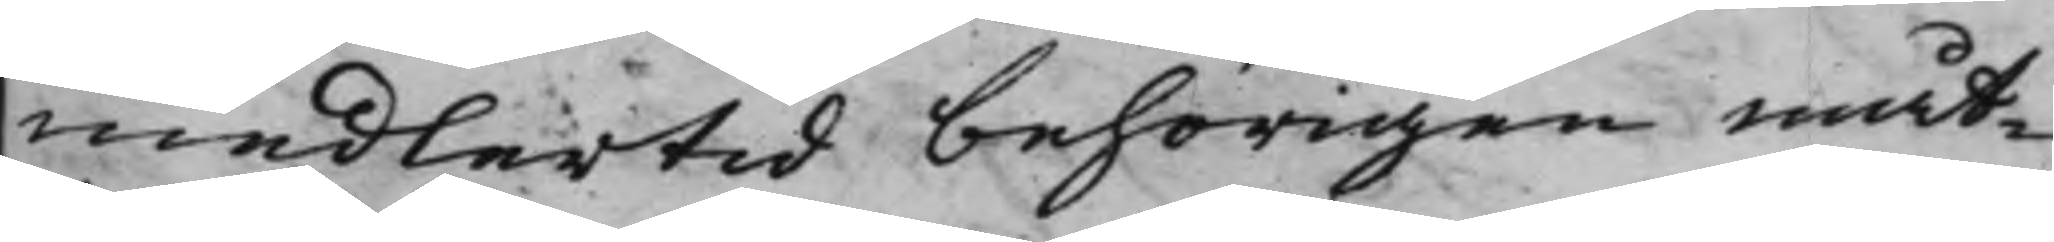medlertid behörigen måt¬
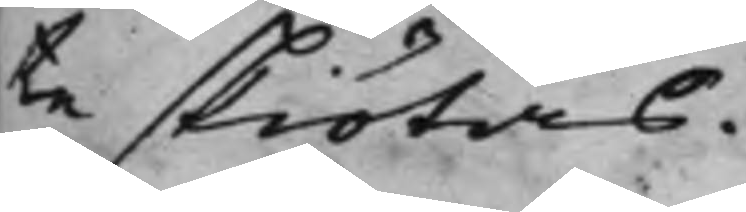te skiötas.
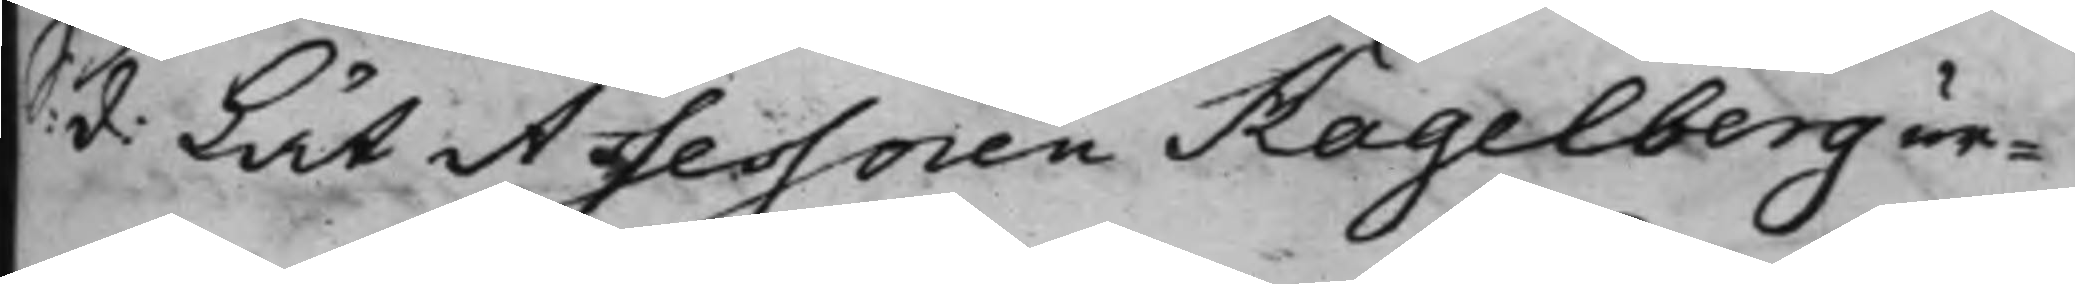S: d: Lät Assessoren Hagelberg ur¬
